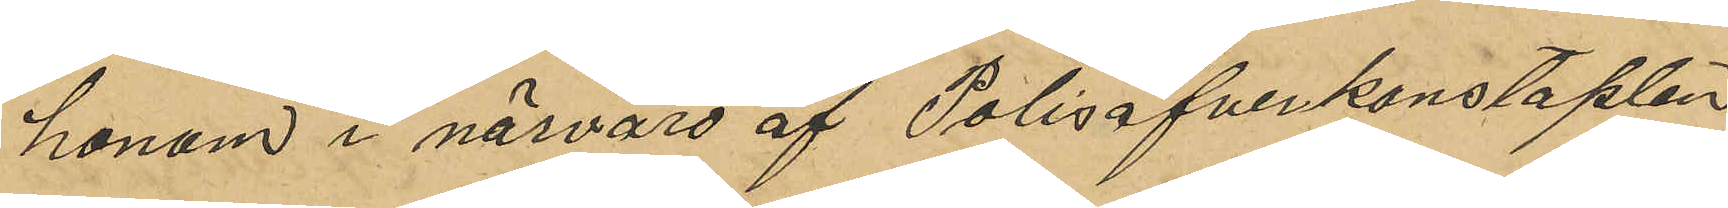honom i närvaro af Polisöfverkonstaplen
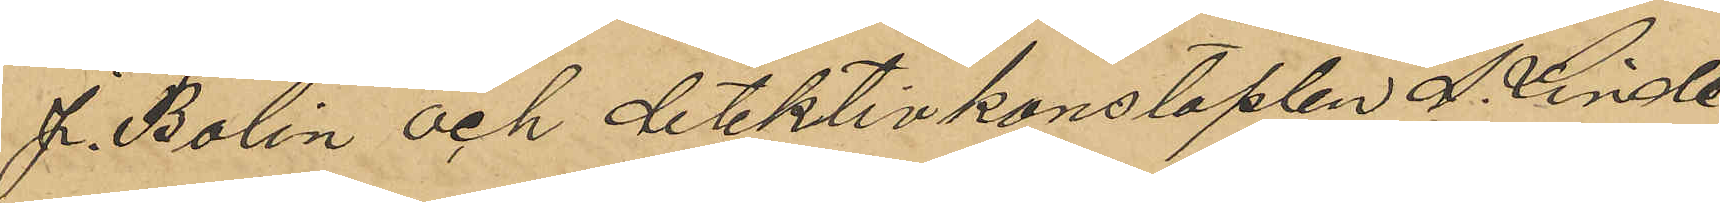J. Bohlin och detektivkonstaplen A. Linde¬
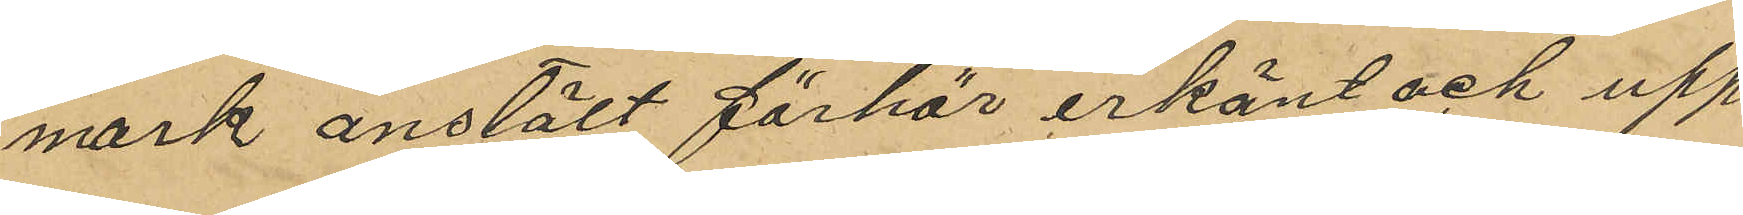mark anstäldt förhör erkänt och upp¬
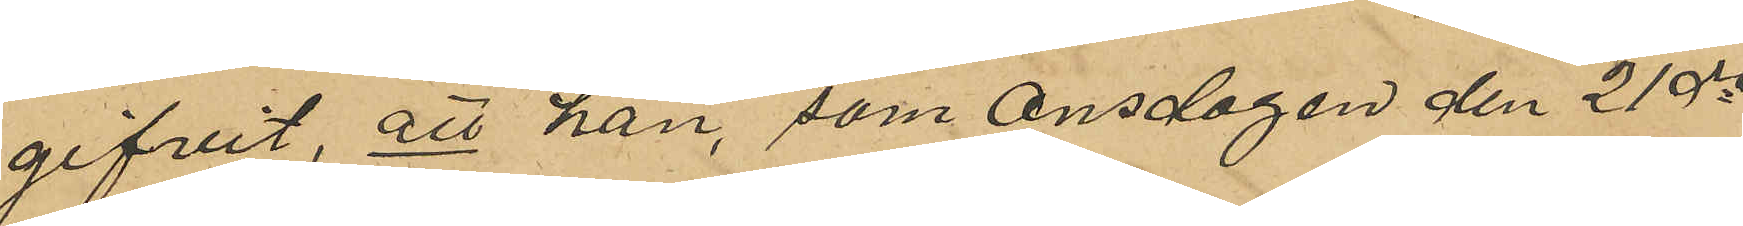gifvit, att han, som Onsdagen den 21 ds
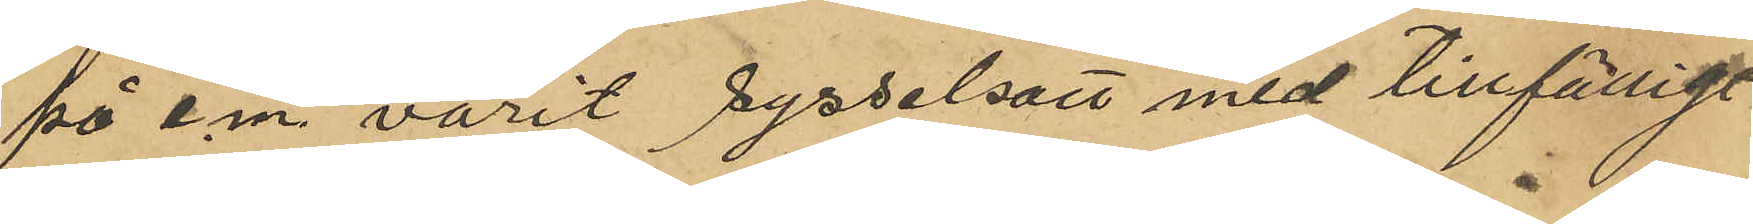på e. m. varit sysselsatt med tillfälligt
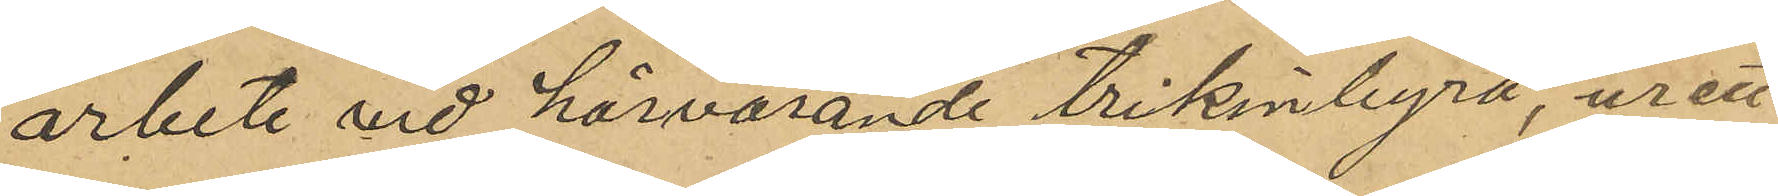arbete vid härvarande trikinbyrå, ur ett
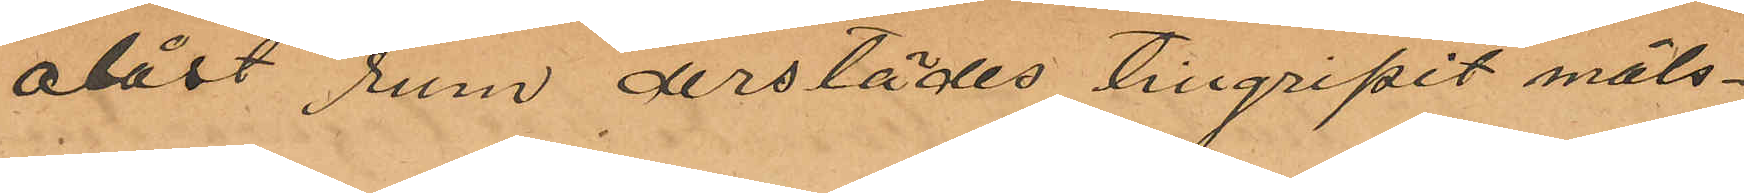olåst rum derstädes tillgripit måls¬
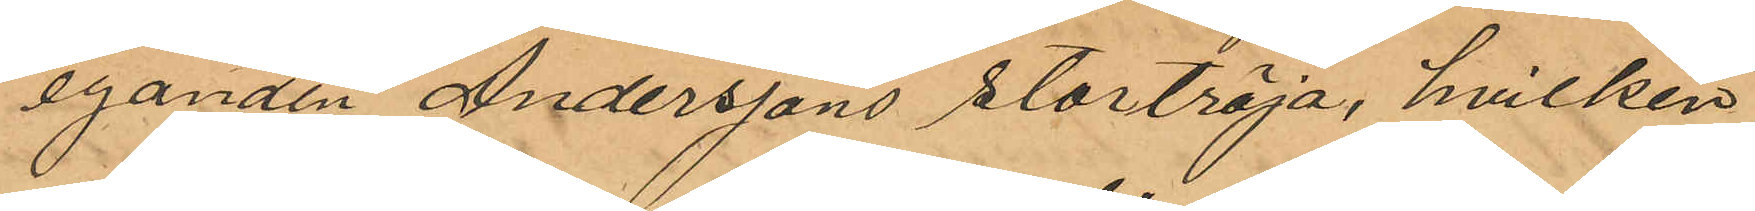eganden Anderssons stortröja, hvilken
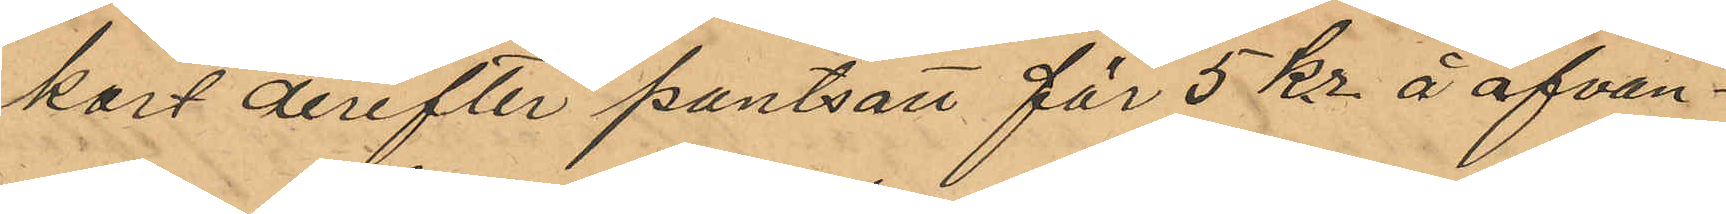kort derefter pantsatt för 5 Kr. å ofvan¬
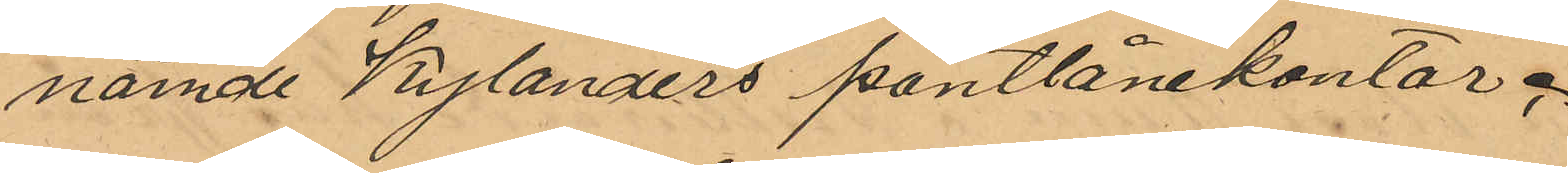nämnde Kylanders pantlånekontor;
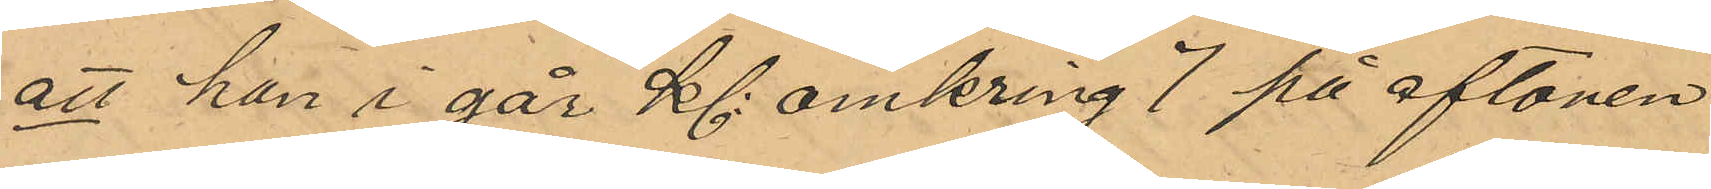att han i går Kl omkring 7 på aftonen
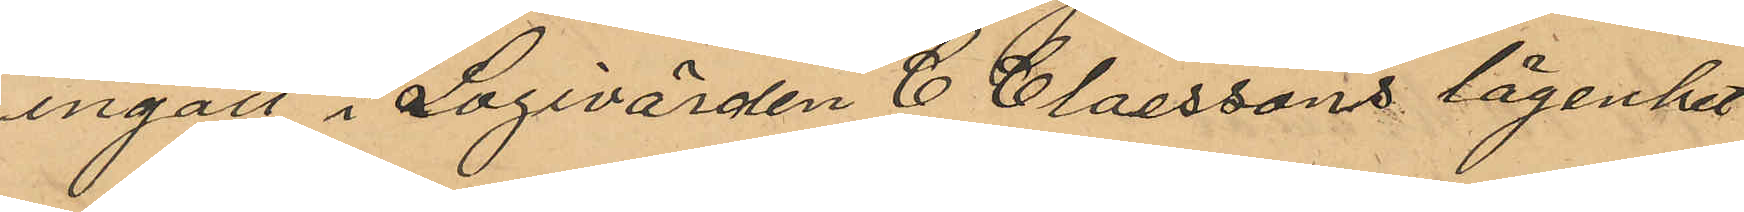ingått i Logivärden C. Claessons lägenhet
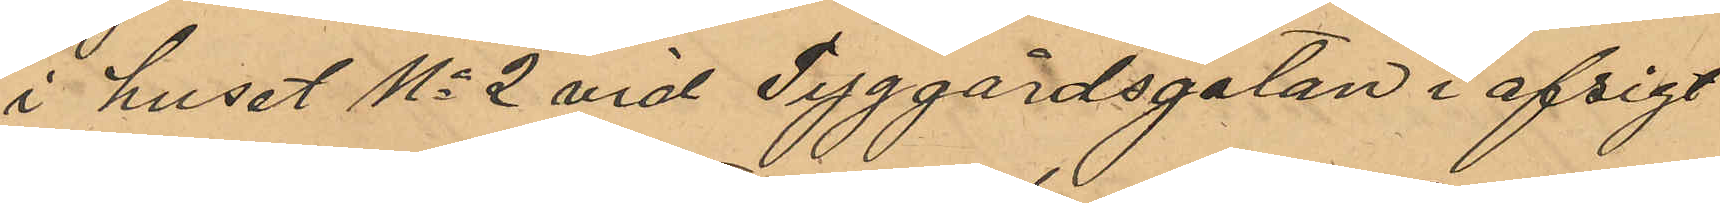i huset No 2 vid Tyggårdsgatan i afsigt
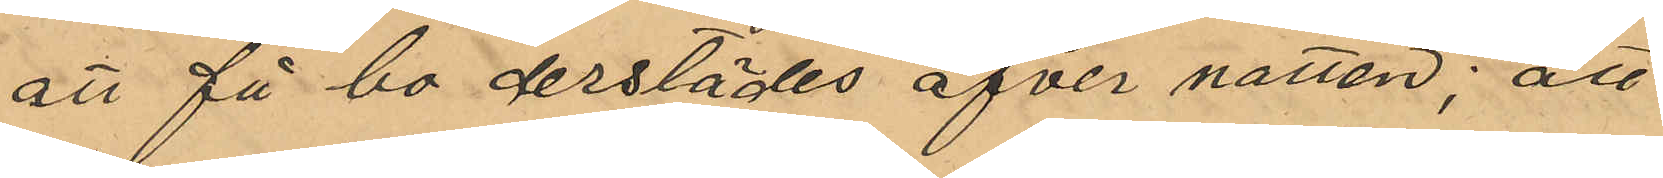att få bo derstädes öfver natten; att
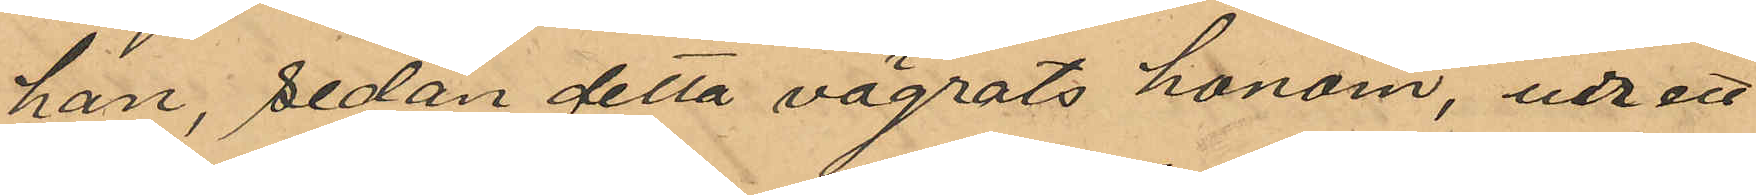han, sedan detta vägrats honom, ur ett
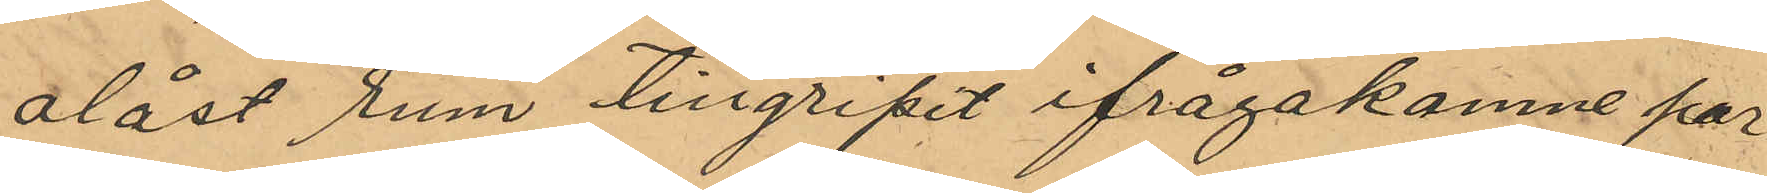olåst rum tillgripit ifrågakomne par
